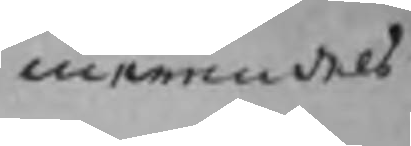merendels
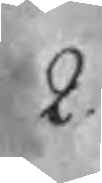2.
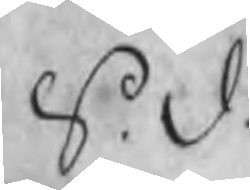S.d.
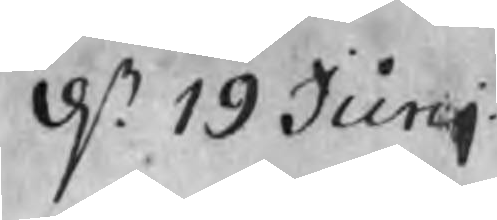d. 19 Junj.
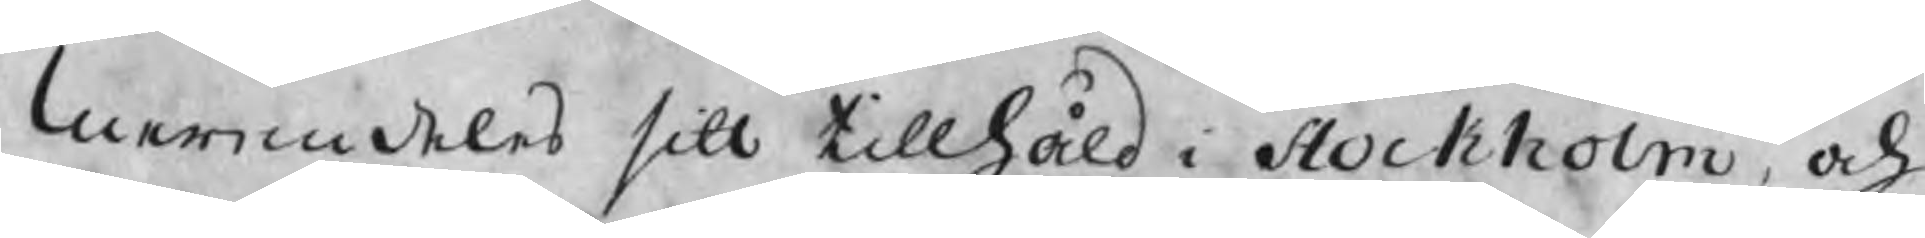merendeles sitt tillhåld i Stockholm, och
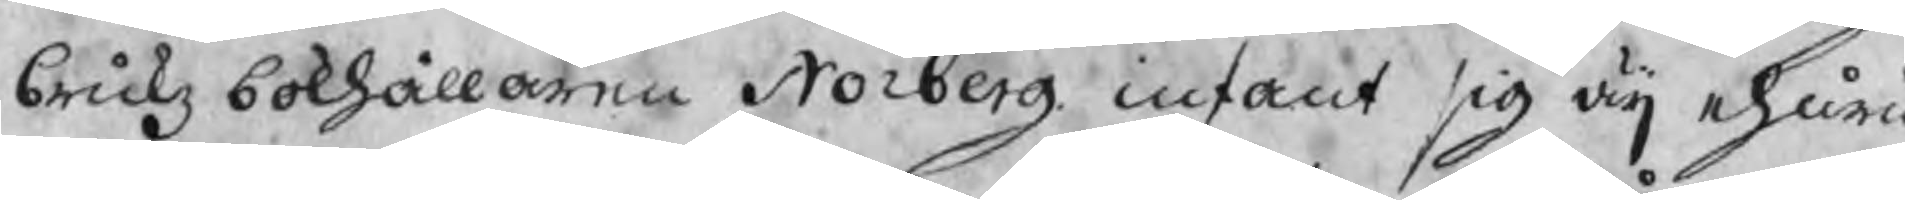brukz bokhållaren Norberg infant sig äij ehuru
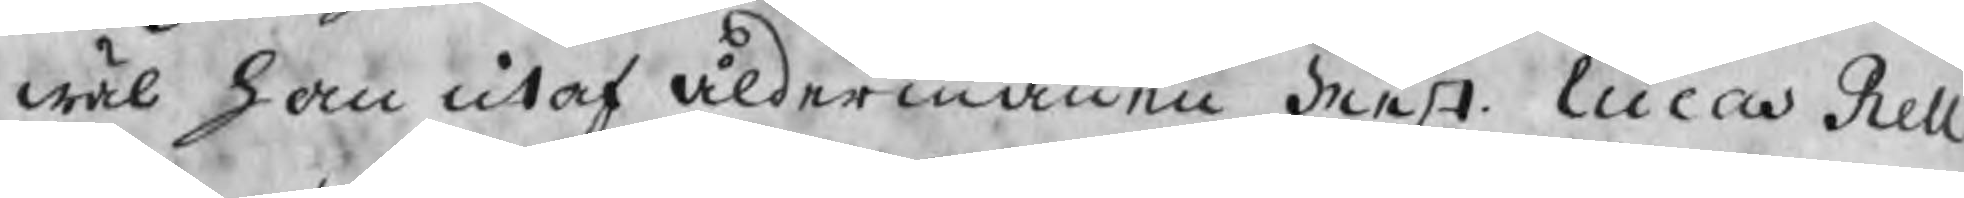wäl han utaf åldermannen Mest. Lucas Rell
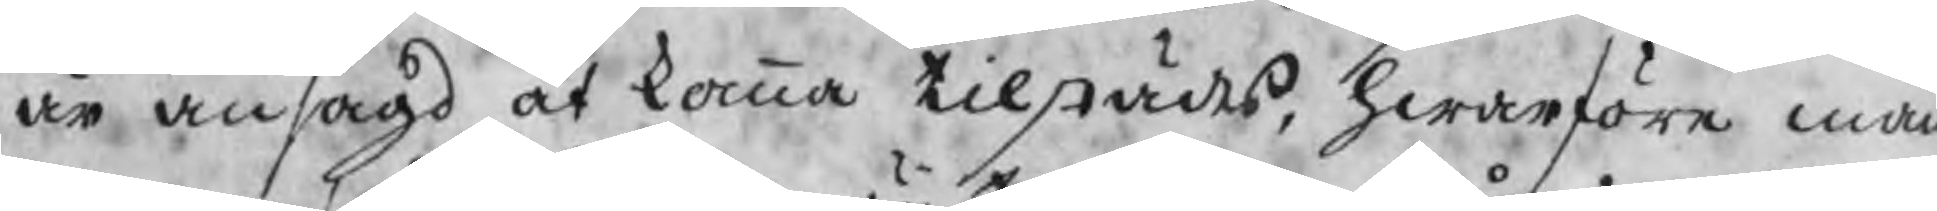är ansagd at komma tilstädes, hwarföre man
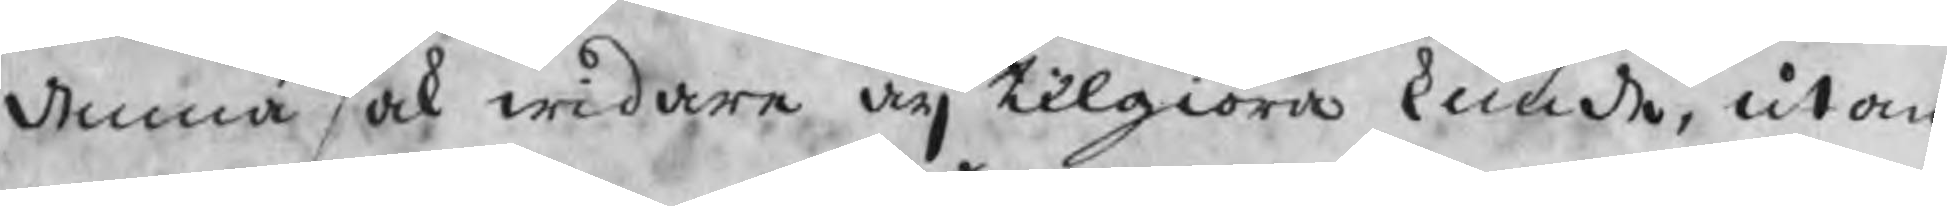denna sak widare äij tilgiöra kunde, utan
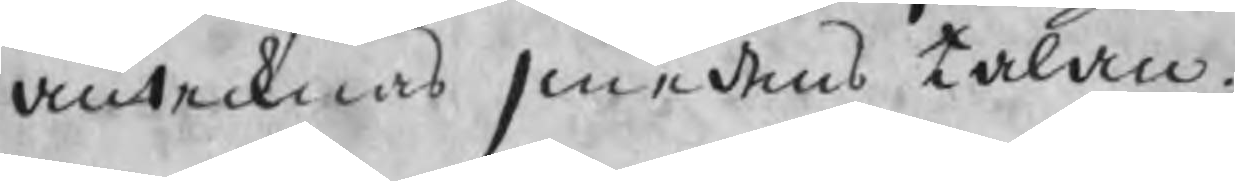antecknas smedens talan.
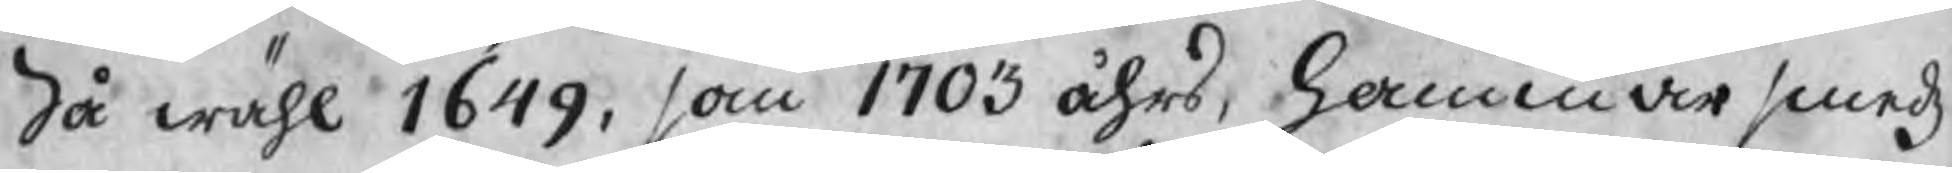Så wähl 1649, som 1703 åhrs, Hammarsmedz
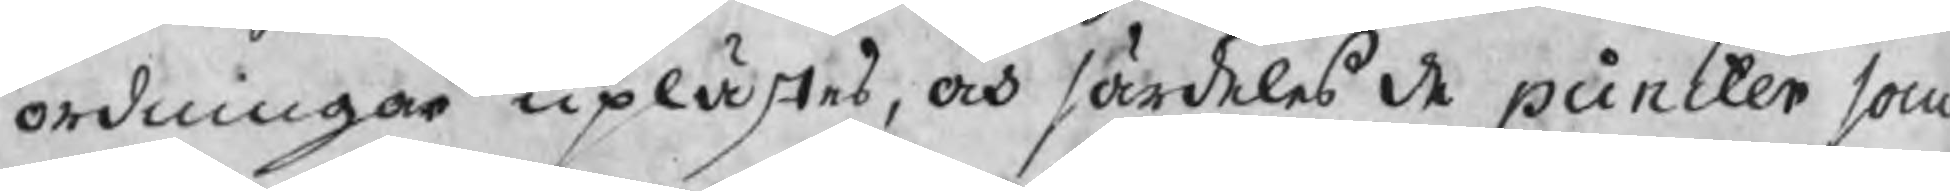ordningar uplästes, och särdeles de puncter som
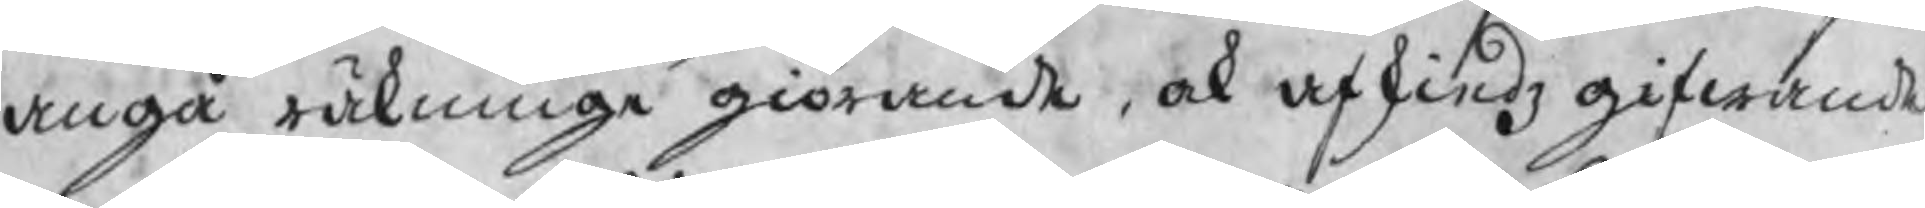angå räkninge giörande, ock afskiedz gifwande
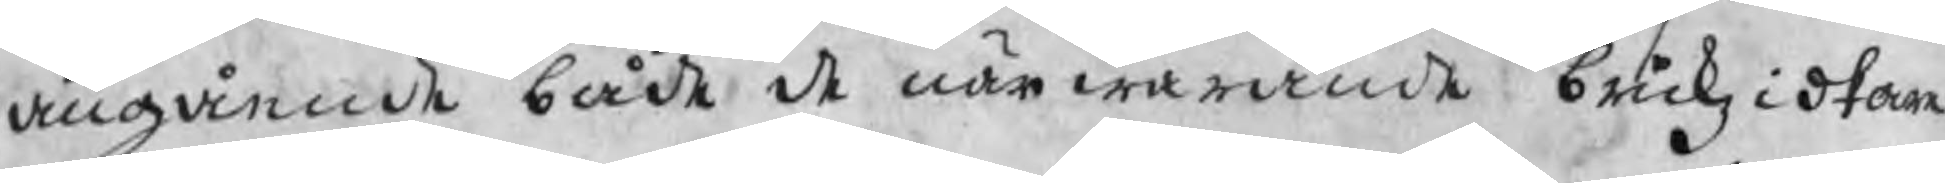angående både de närwarande brukzidkare
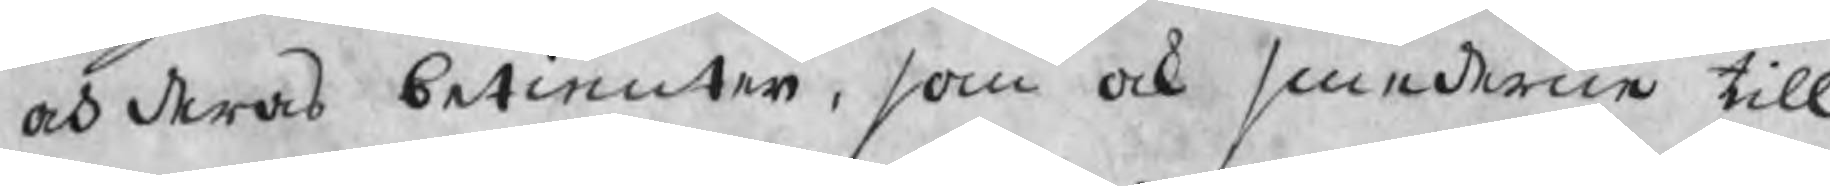och deras betienter, som ock smederne till
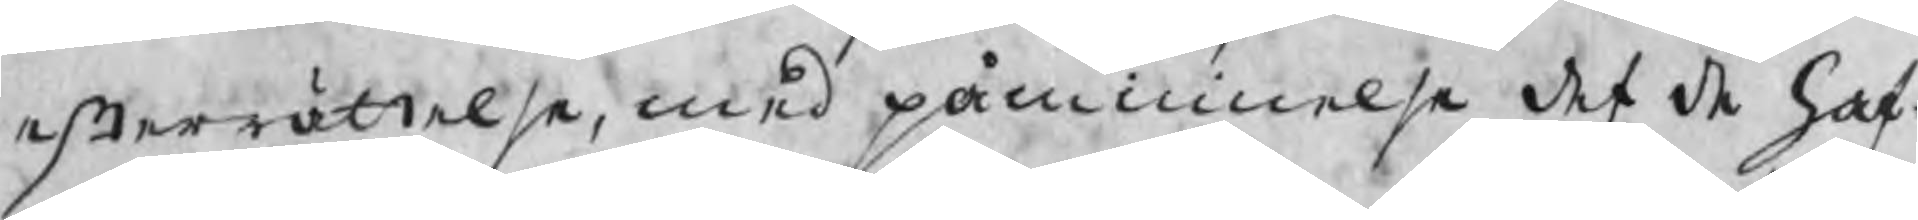efterrättelse, med påminnelse det de haf¬
